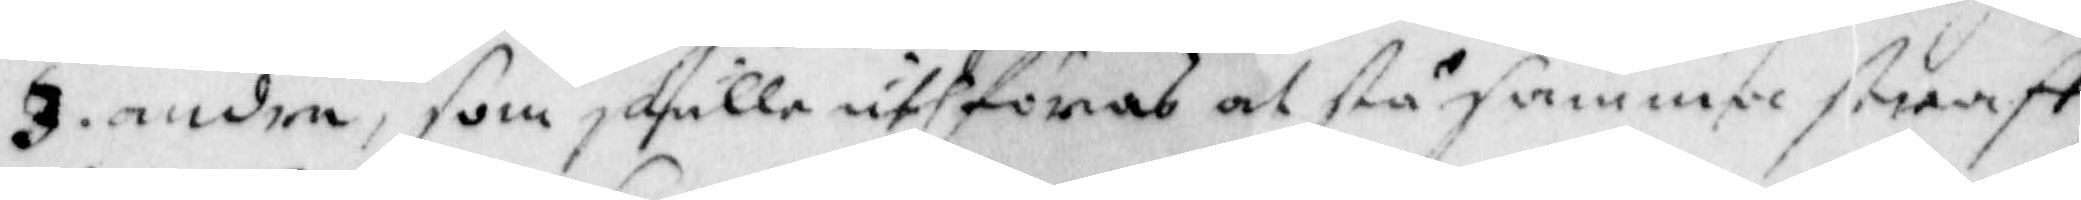3. andra, som skulle uthföras at stå samma straff
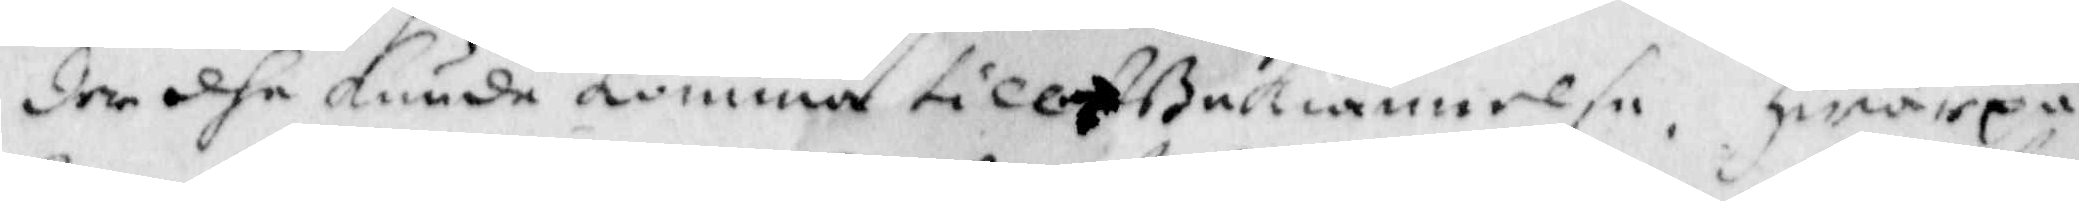der dhe kunde komma till Bekiännelse, Hwarpå
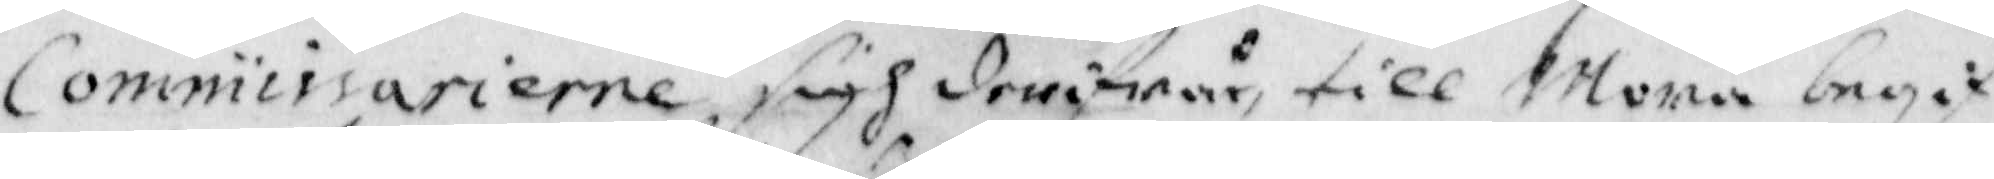Commisarierne sigh derifrån till Mora begif¬
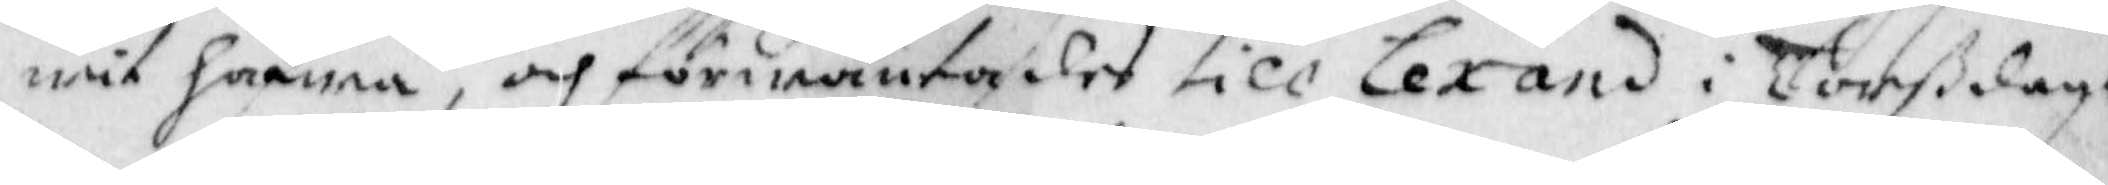wit hafwa, och förwäntades till Lexand i Torßdagh
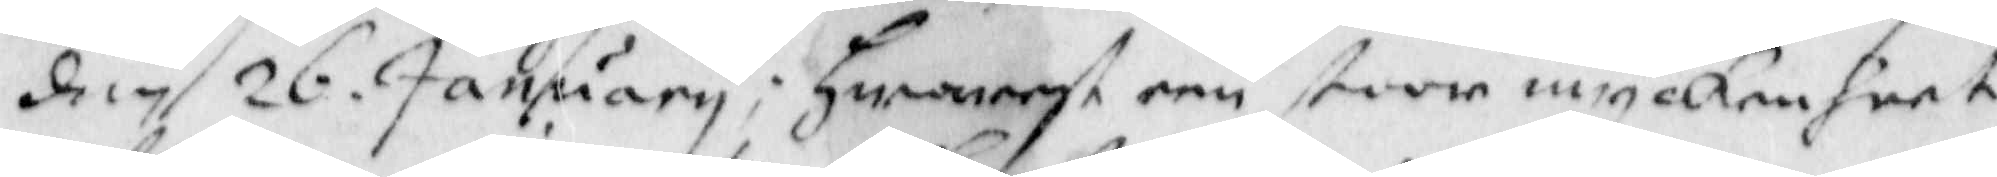den 26. January; hwarest een stoor myckenheet
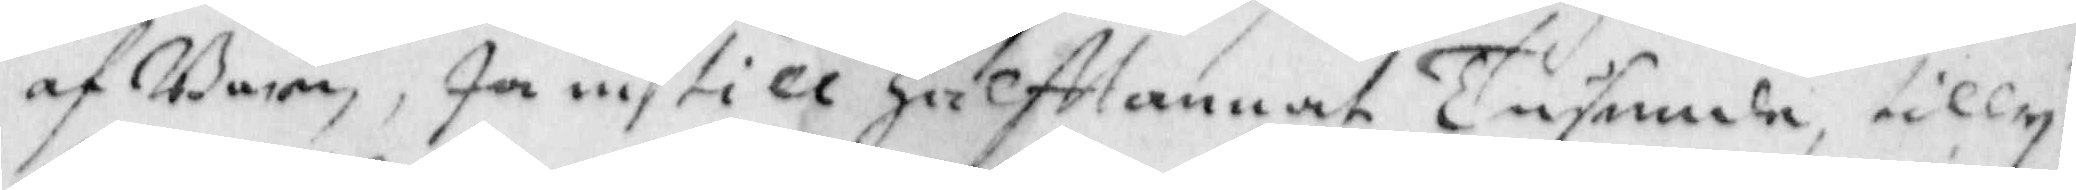af Barn, Ja ei till Halftannat Tusende, tilly¬
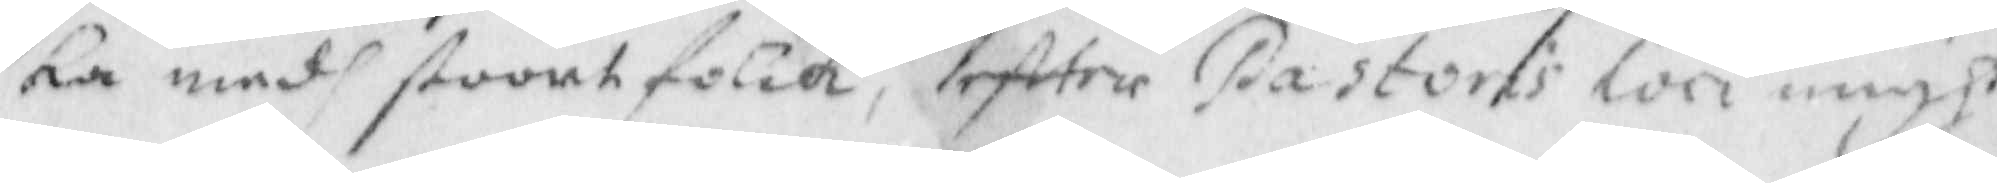ka med stoort folck, eftter Pastoris Loci migh
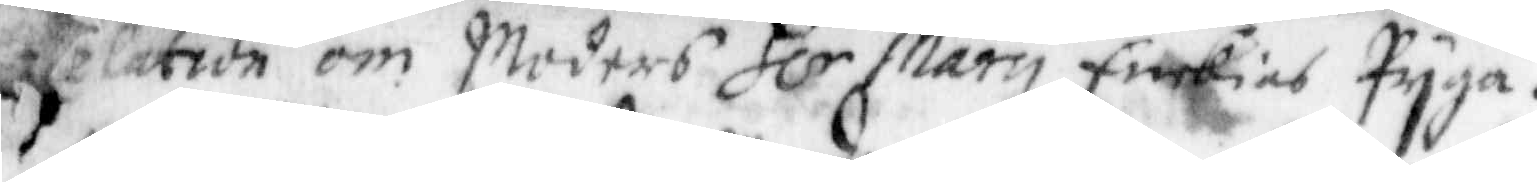Relation om Moders H:r Marin Enkias Pyga.
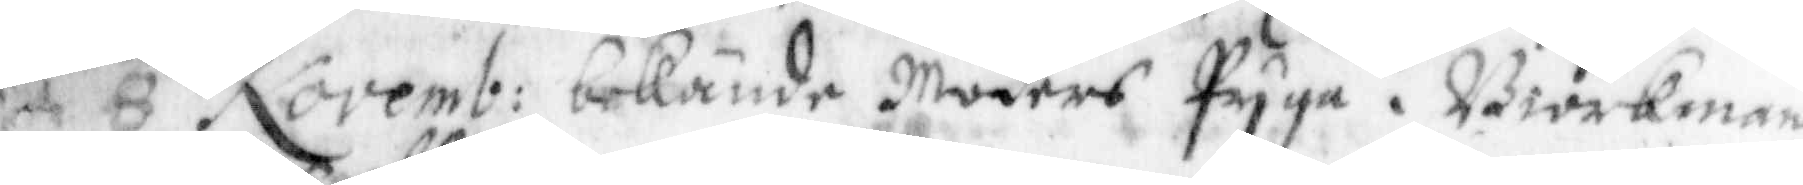d 8 Novemb: bekände Moders Pyga i Biorkmans
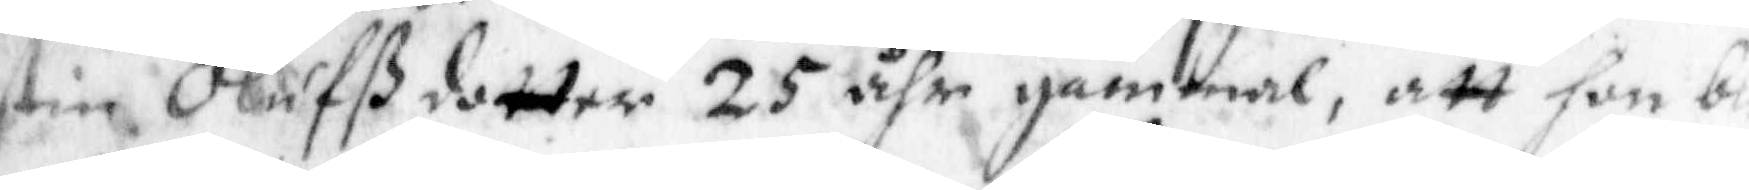Kerstin Oluffßdotter 25 åhr gammal, att hon blef
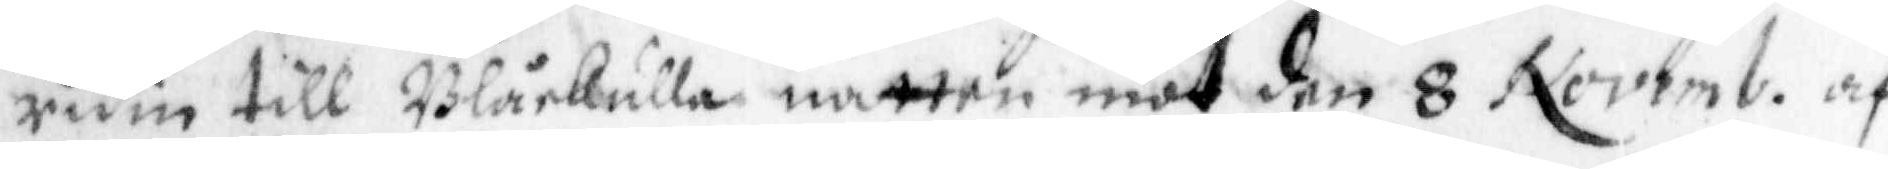rum till Blåkulla natten mot den 8 Novemb: af
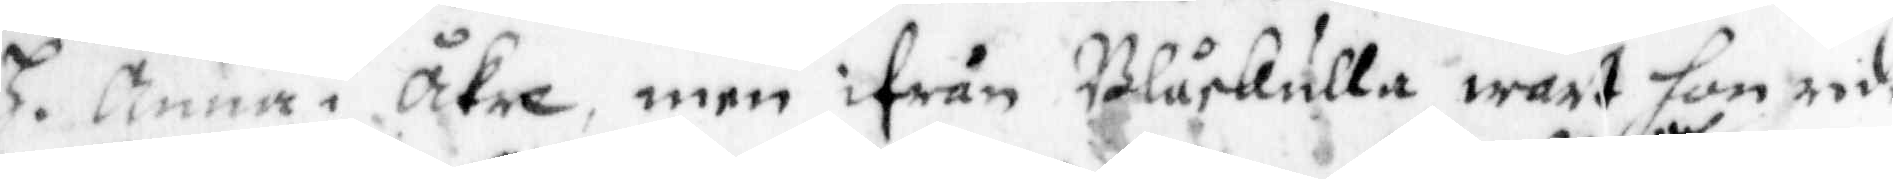H. Anna i Åkre, men ifrån Blåkulla wart hon ridin
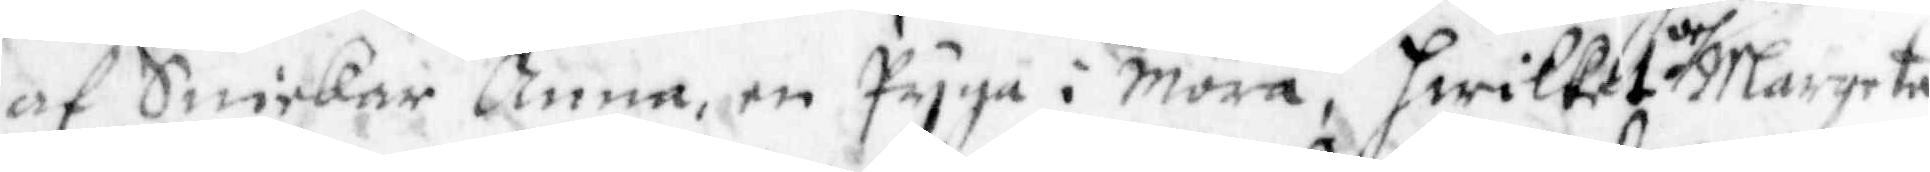af Snickar Anna, en Pyga i Mora, hwilket och Margeta
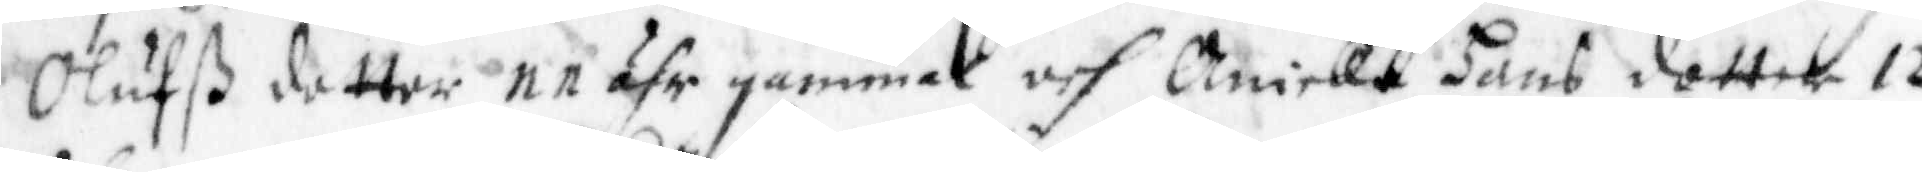Oluffß dotter 11 åhr gammal och Anicka Hans dotter 12
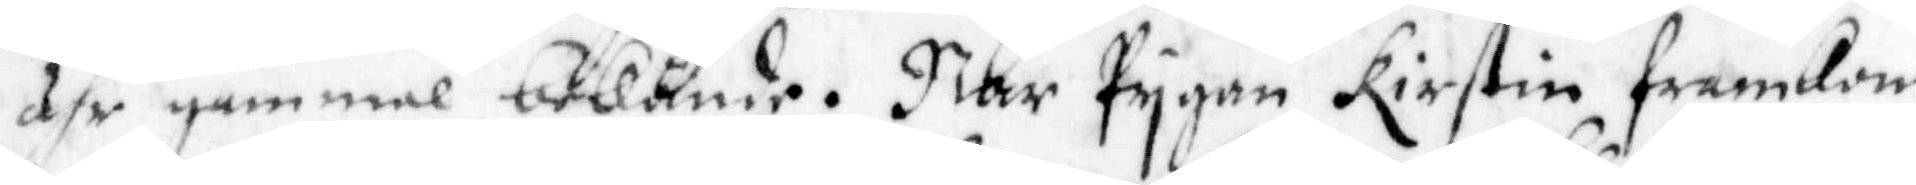åhr gammal bekände. När Pygan Kirstin framkom
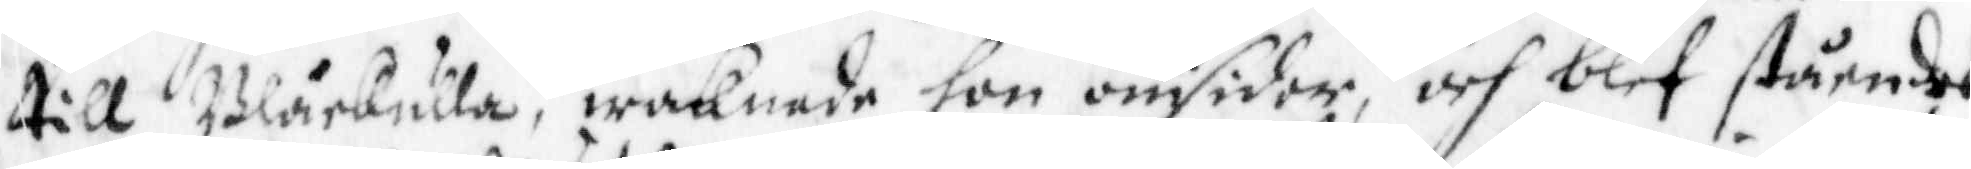till Blåkulla, waknade hon omsider, och blef ståendes
